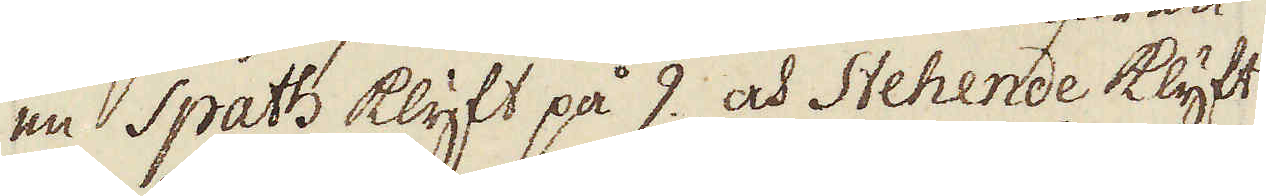en Spath klyft på 9. och Stehende klyft
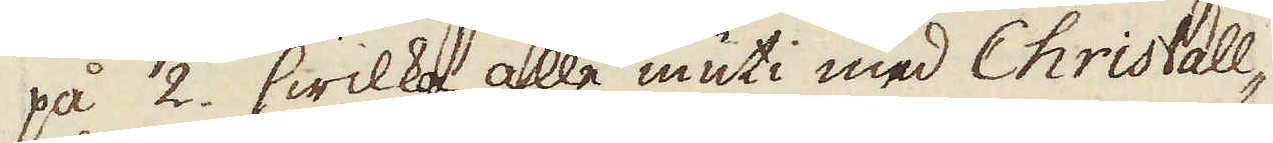på 2. hwilka alle inuti med Christall-
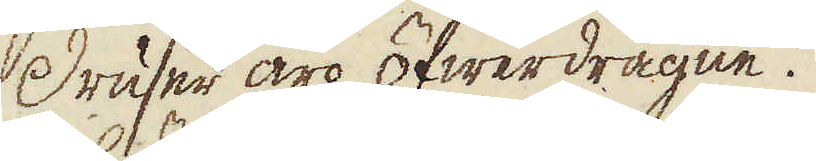Druser äro öfwerdragne.
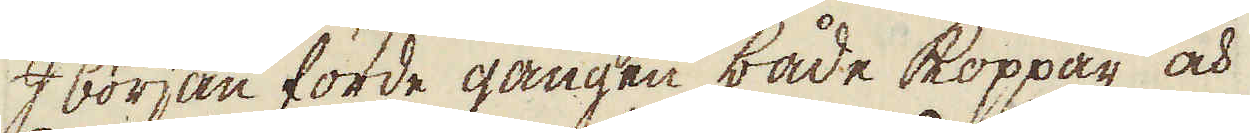I början förde gången både koppar och
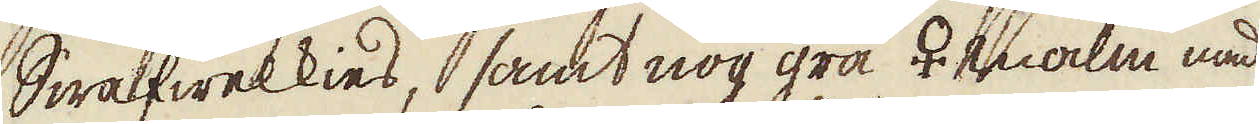Swalfwelkies, samt nog grå ♀ malm med
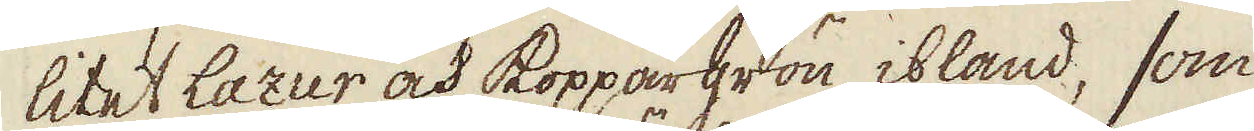litet Lazur och koppargrön ibland, som
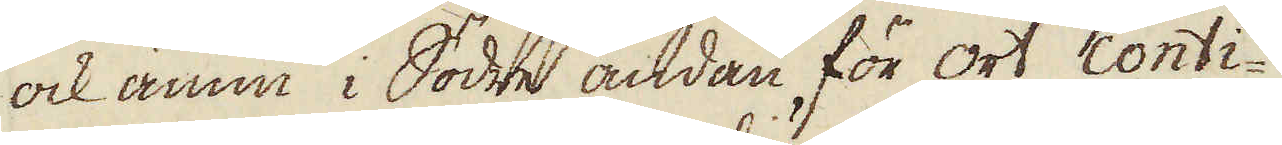ock ännu i Södre ändan för ort conti-
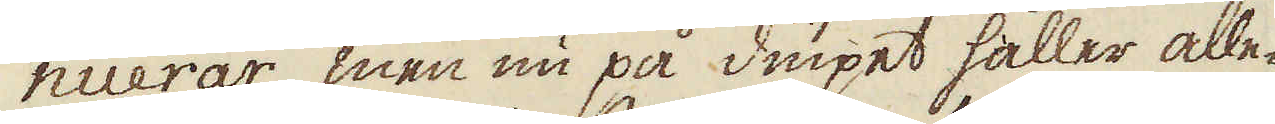nuerar, men nu på diupet håller alle-
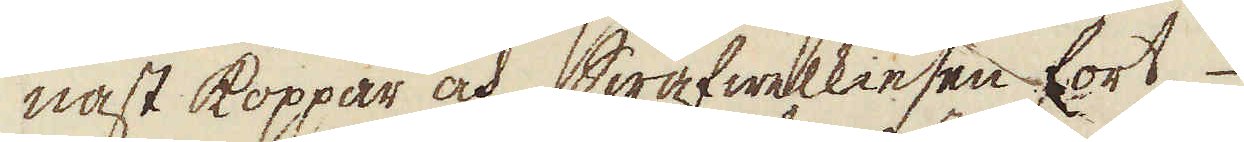nast koppar och Swafwelkiesen fort,
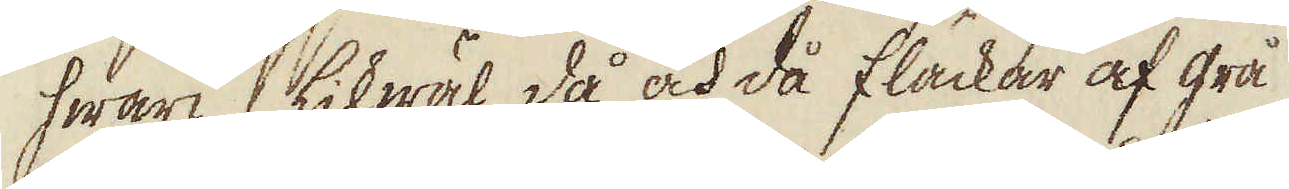hwari likwäl då och då fläckar af grå
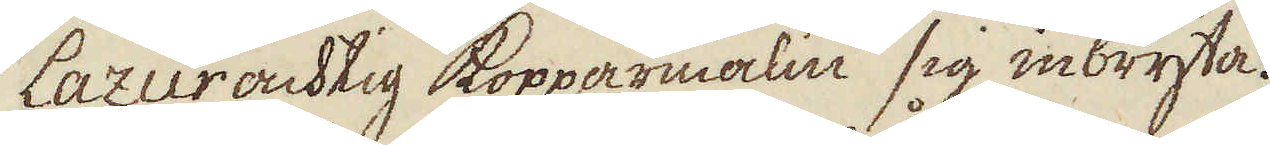Lazurachtig kopparmalm sig inbryta.
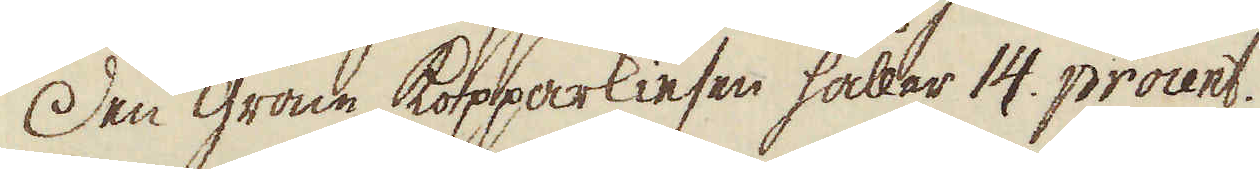Den gröne kopparkiesen hållar 14. procent.
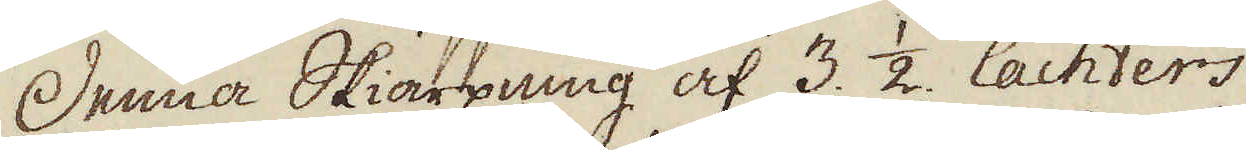Denna Skiärpning af 3. 1/2 lachters
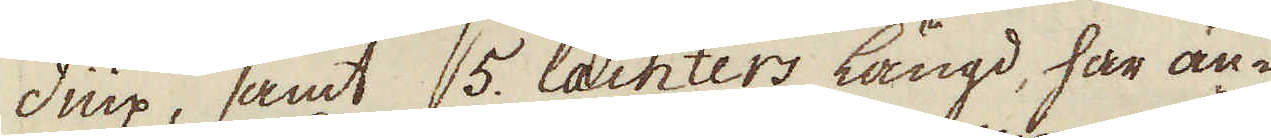diup, samt 5. lacters längd, har än-
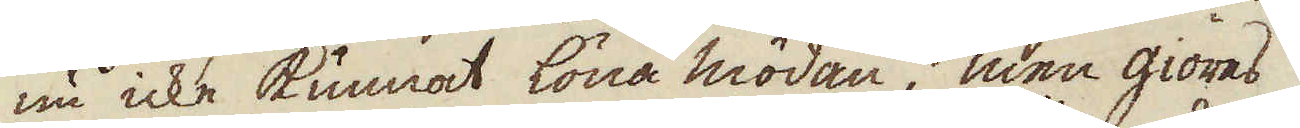nu icke kunnat löna mödan, men giöres
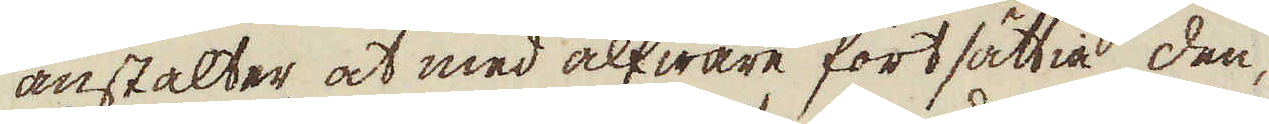anstalter at med alfware fortsättia den,
